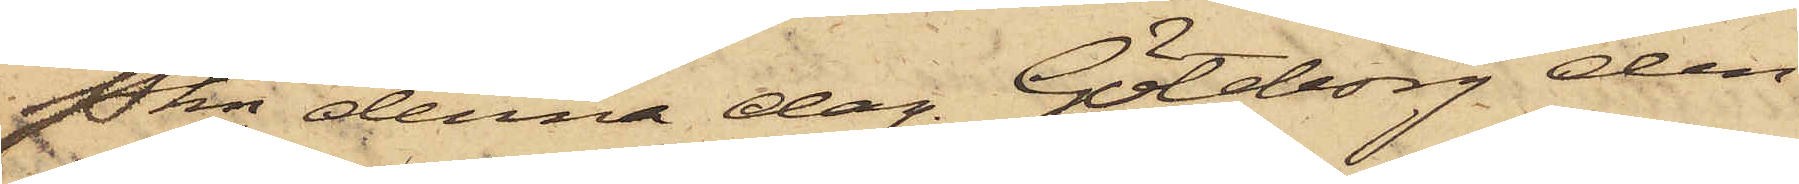Pkn denna dag. Göteborg den
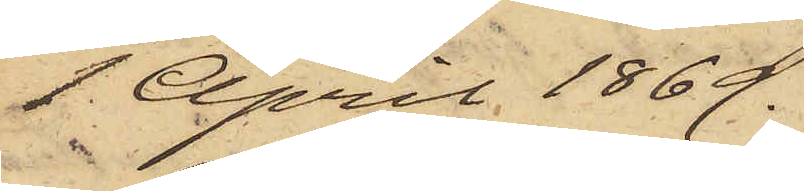1 April 1869.
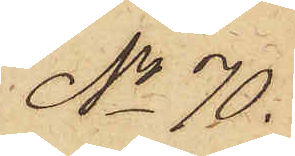No 70.
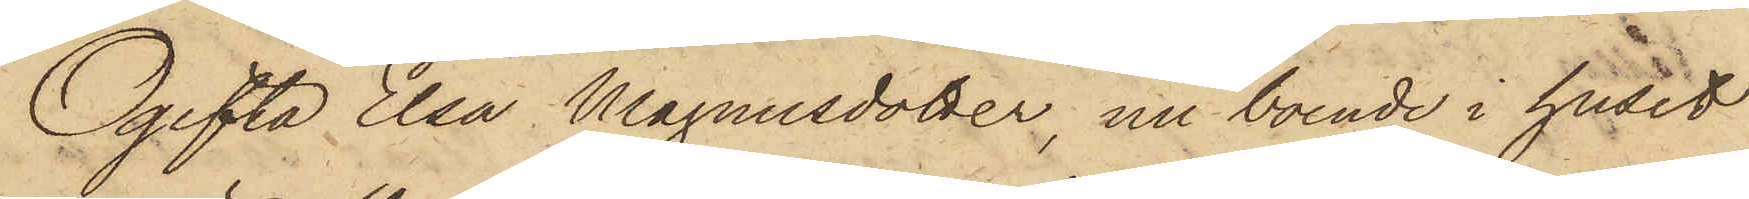Ogifta Elsa Magnusdotter, nu boende i huset
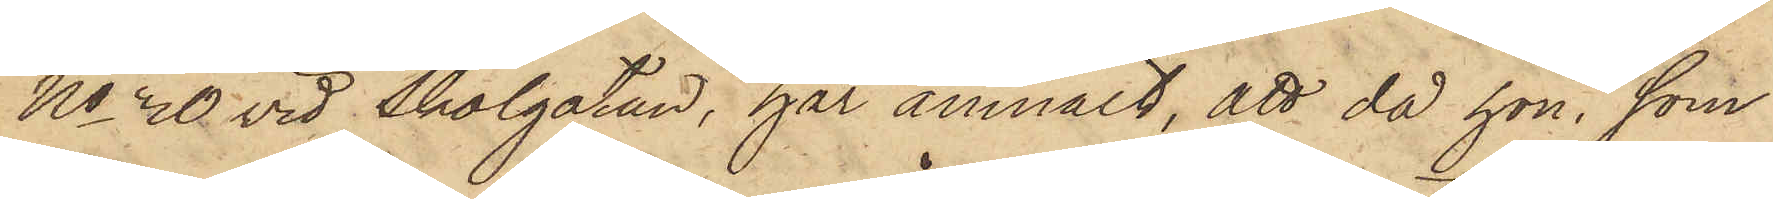No 30 vid Skolgatan, har anmält, att då hon, som
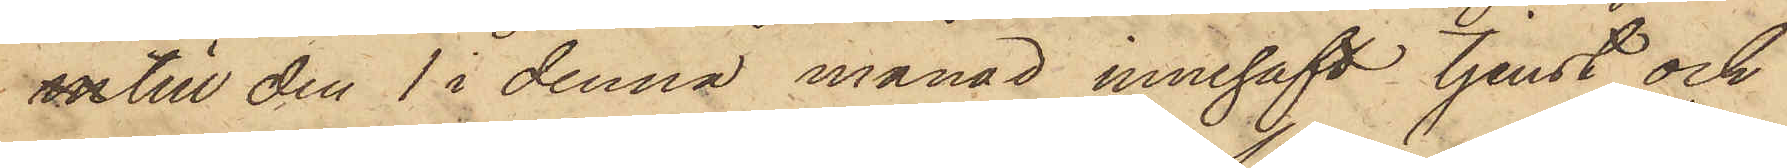intill den 1 i denna månad innehaft tjenst och
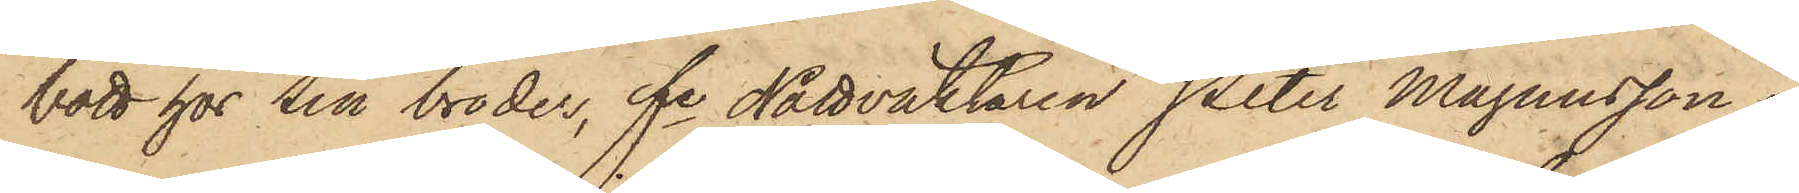bott hos sin broder, fe Nattväktaren Peter Magnusson i
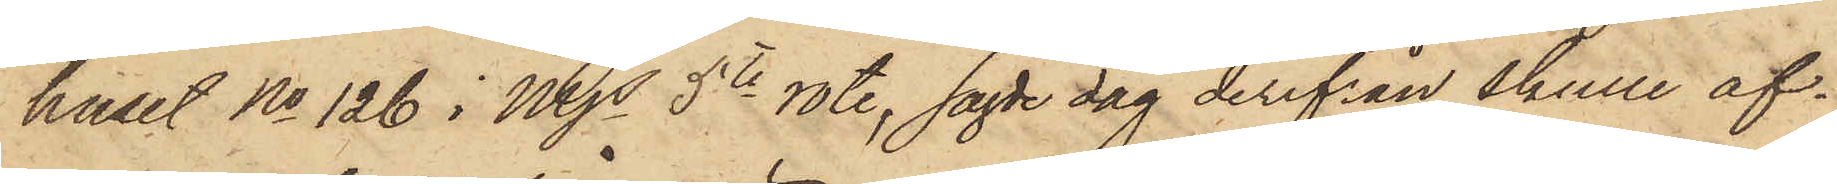huset No 126 i Mjs 5te rote, sagde dag derifrån skulle af¬
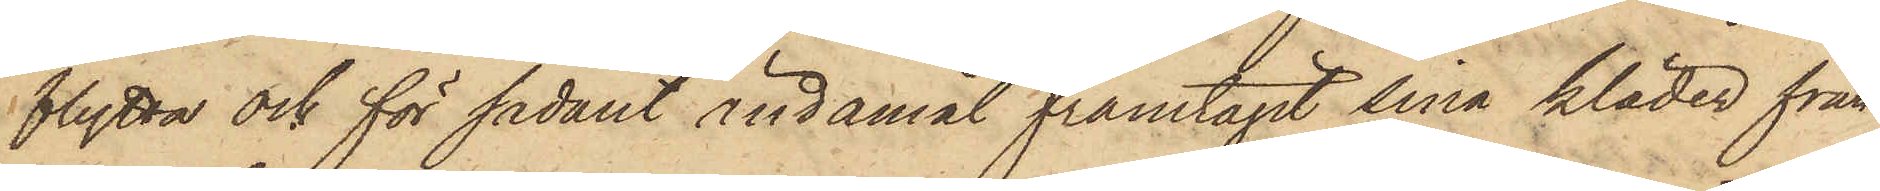flytta och för sådant ändamål framtagit sina kläder från
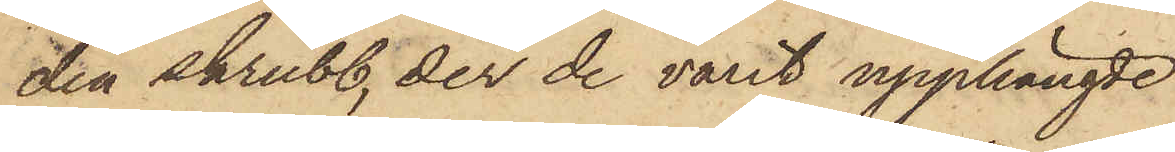den skrubb, der de varit upphängde
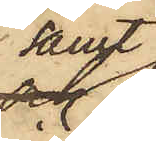samt
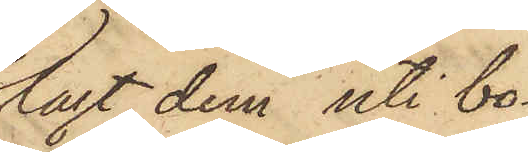lagt dem uti bo¬
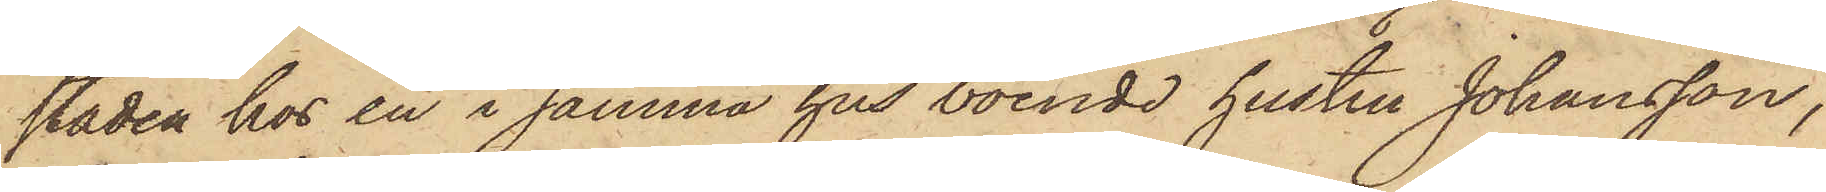staden hos en i samma hus boende hustru Johansson,
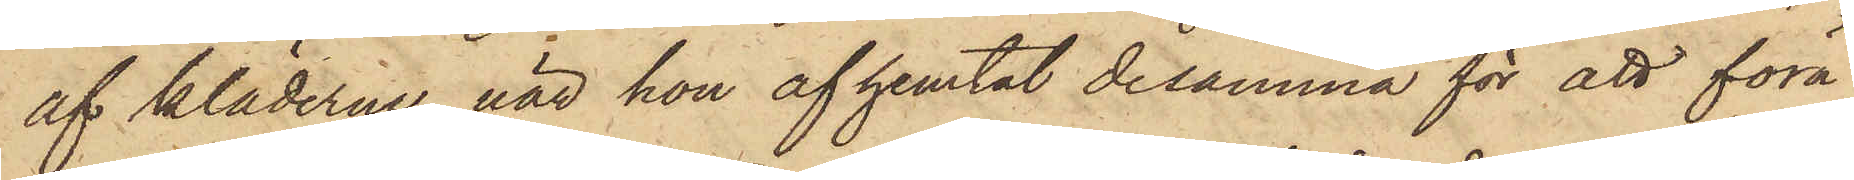af kläderne, när hon afhemtat desamma för att föra
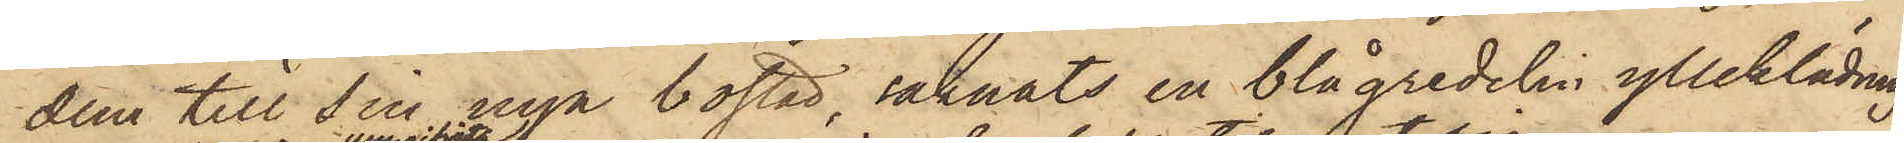dem till sin nya bostad, saknats en blågredelin ylleklädning
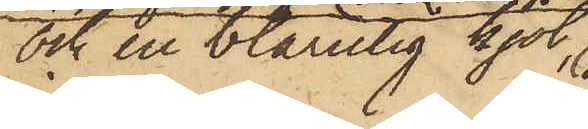och en blårutig kjol,
